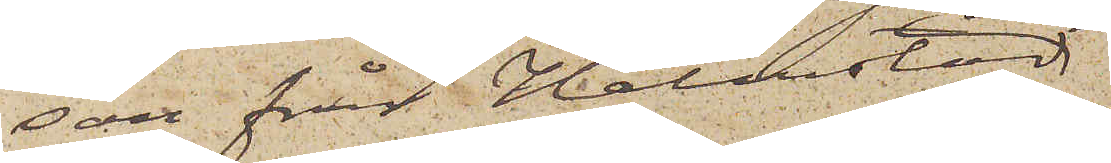son från Halmstad
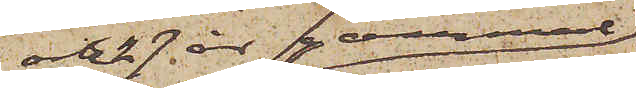och 27 år gammal
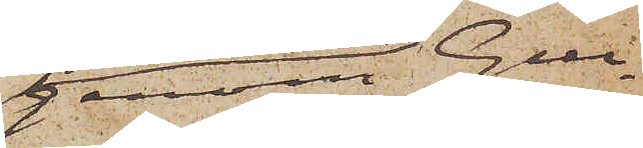genom Gui¬
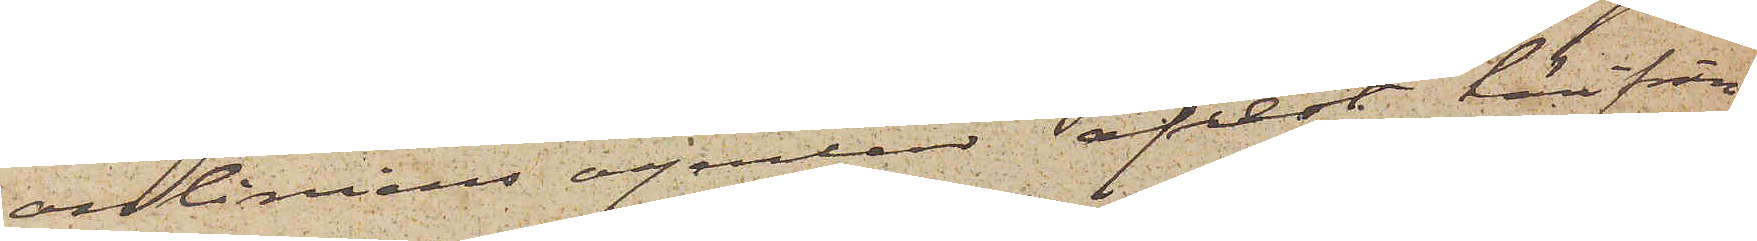onliniens agenter afrest härifrån
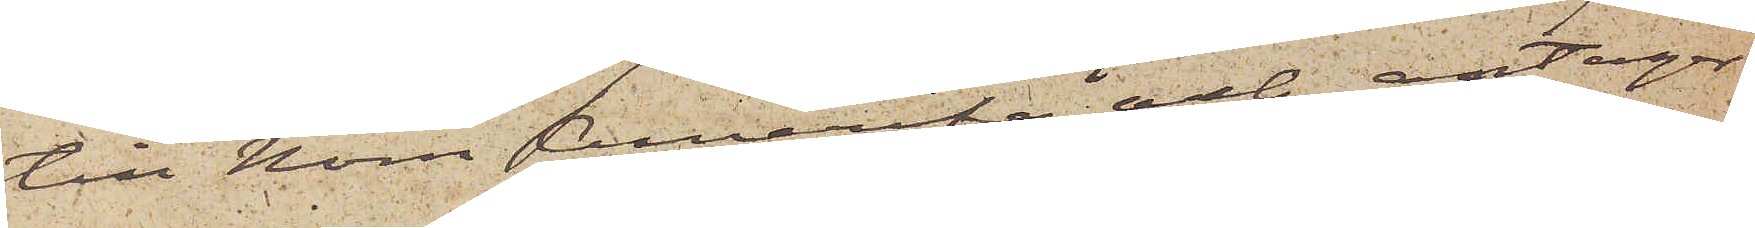till Norra Amerika, och antager
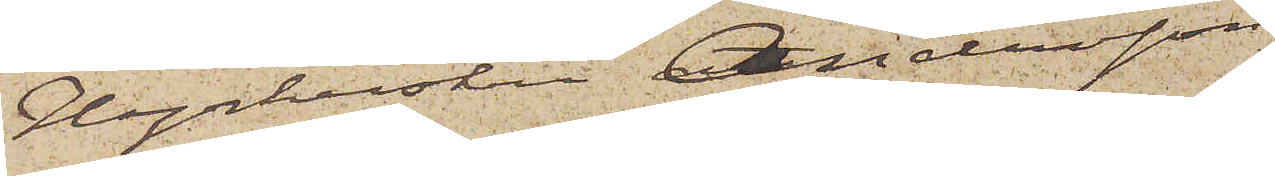Hyrkusken Andersson
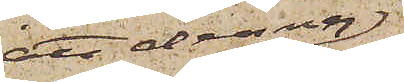att denna
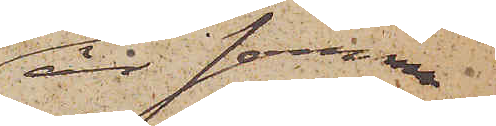är samma
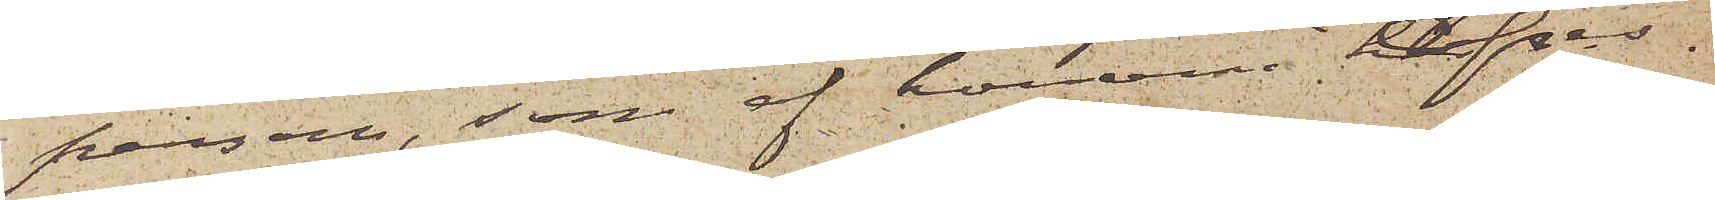person, som af honom afses.
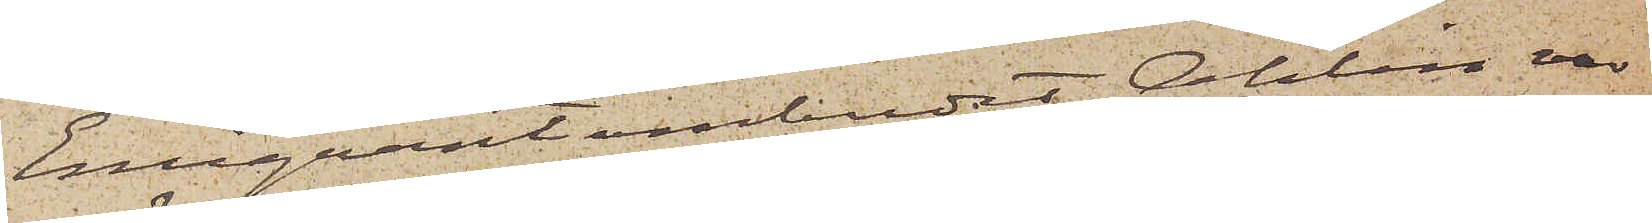Emigrantombudet Ahlin var
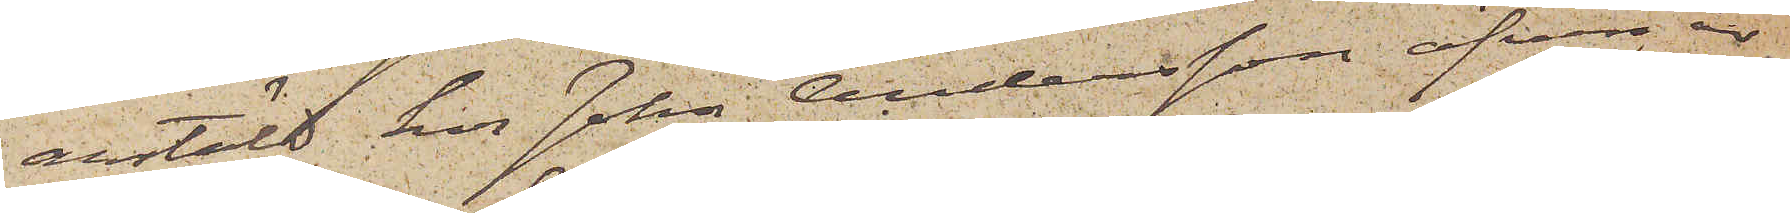anstäld hos John Andersson äfven år
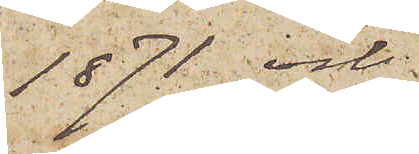1871 och
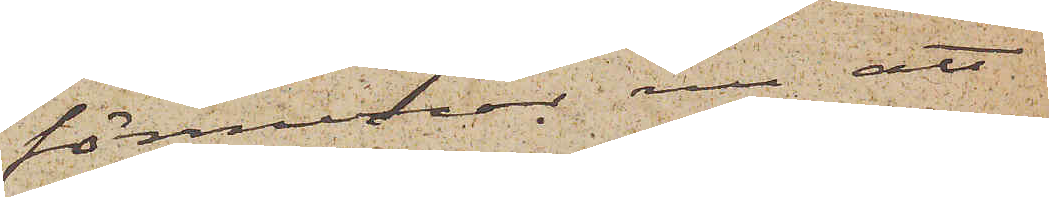förmenar nu att
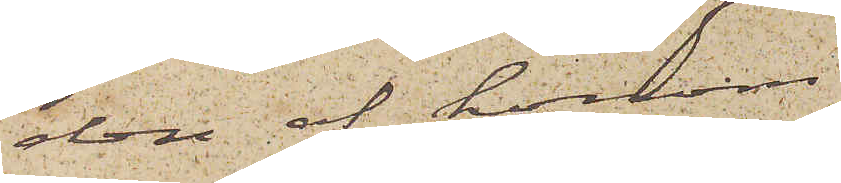den af honom
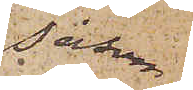såsom
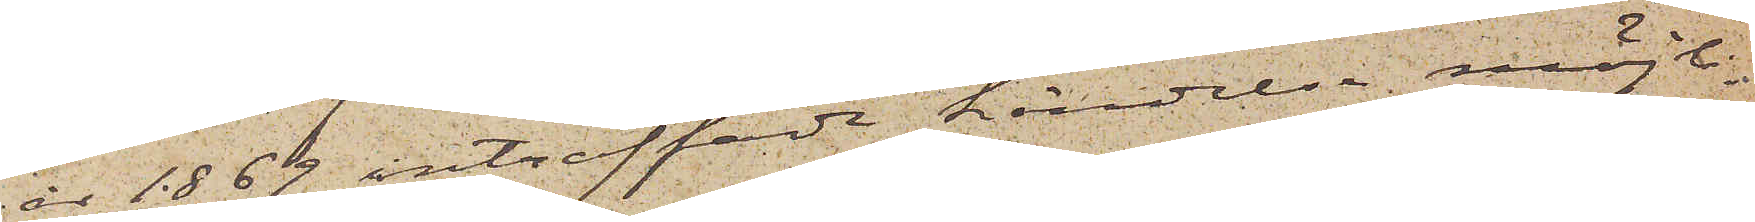år 1869 inträffade händelsen möjli¬
